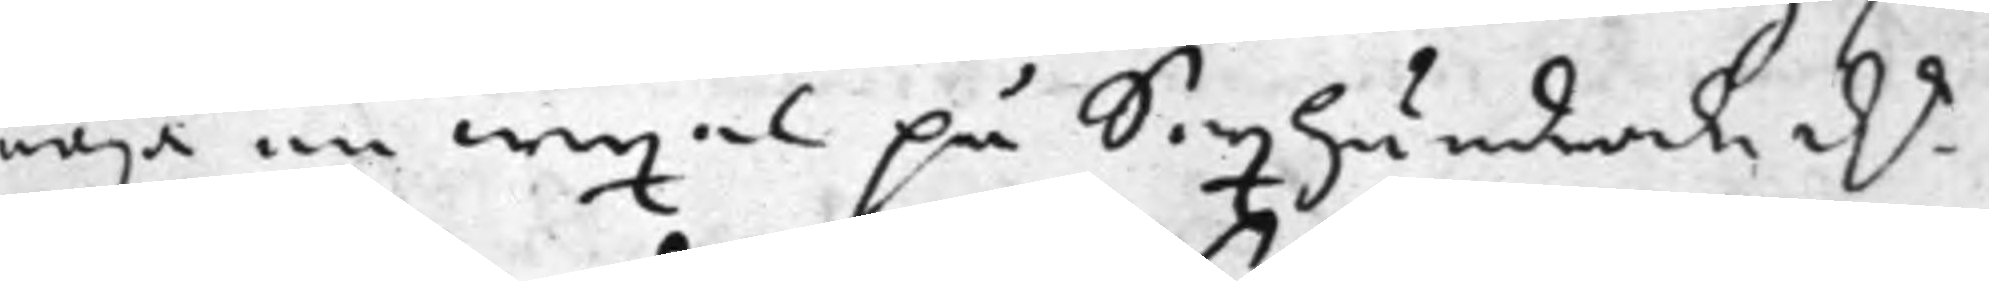nöja en wexel på Sexhundrade d.r
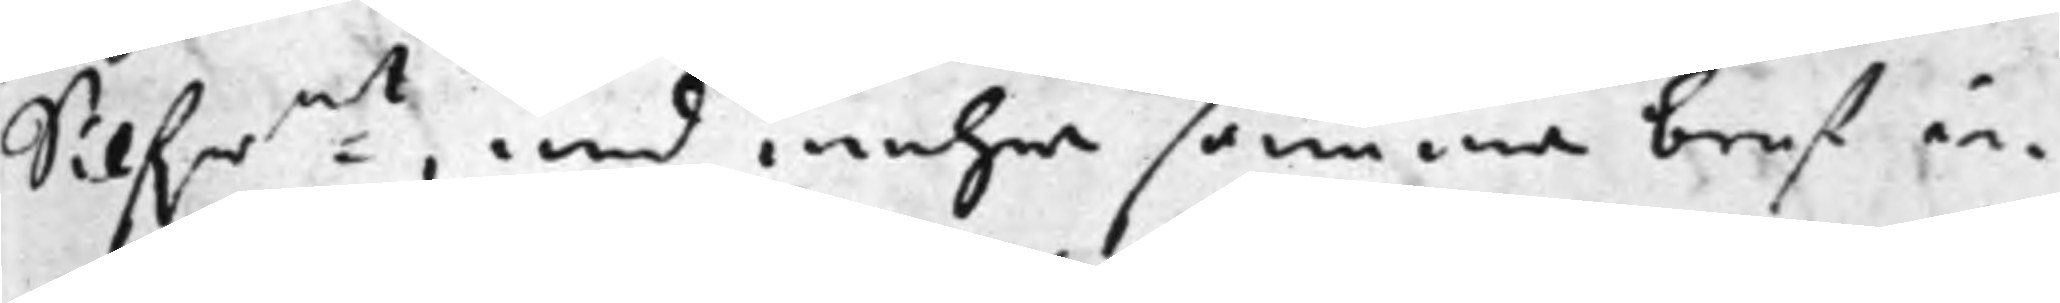Silfr:mt, med mehra samma bref in¬
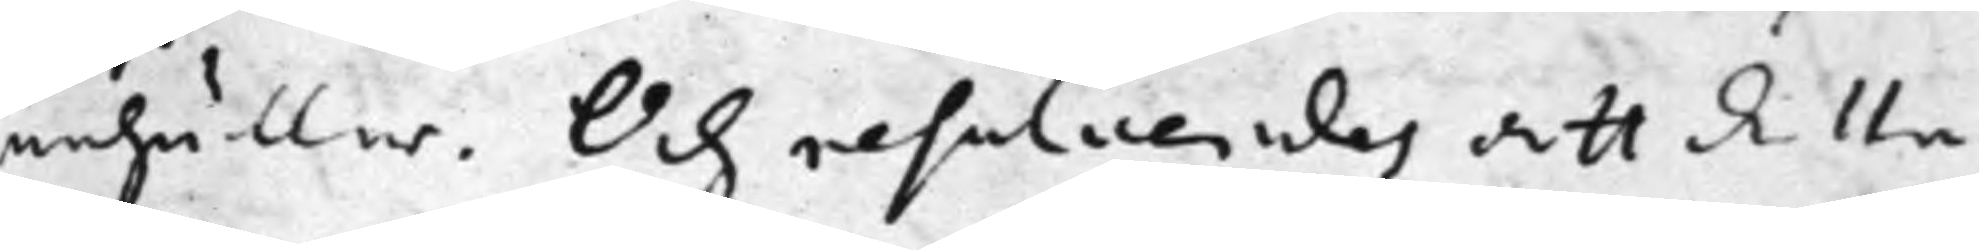nehåller. Och resolverades att detta
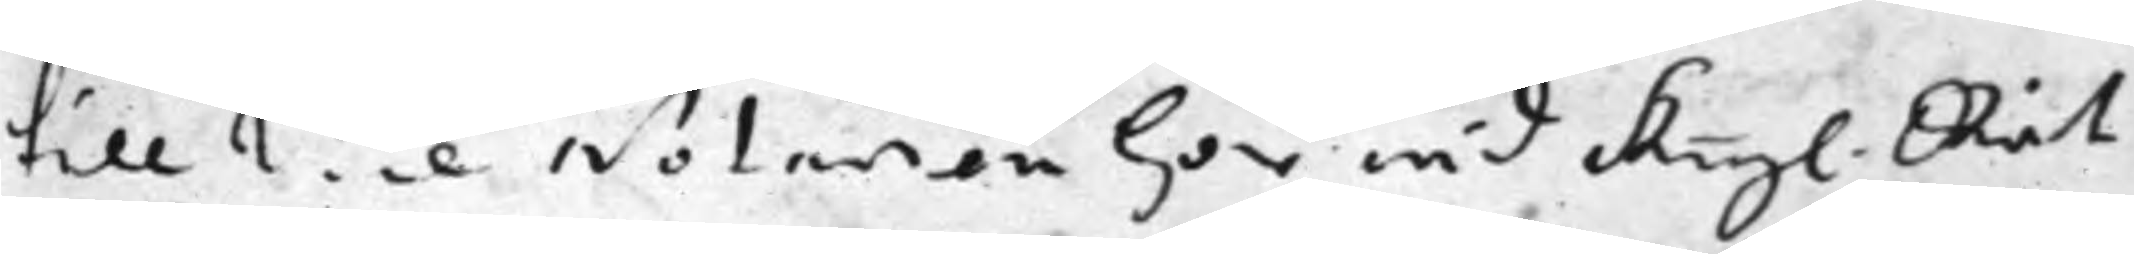till Vice Notarien här wid Kongl. Rät¬
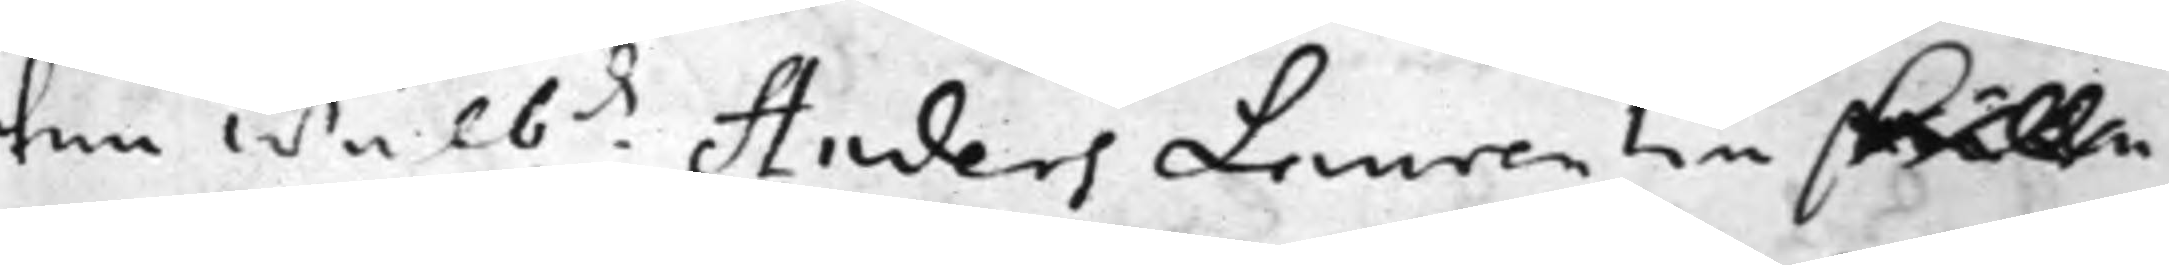ten Wälb:de Anders Laurentin skulle
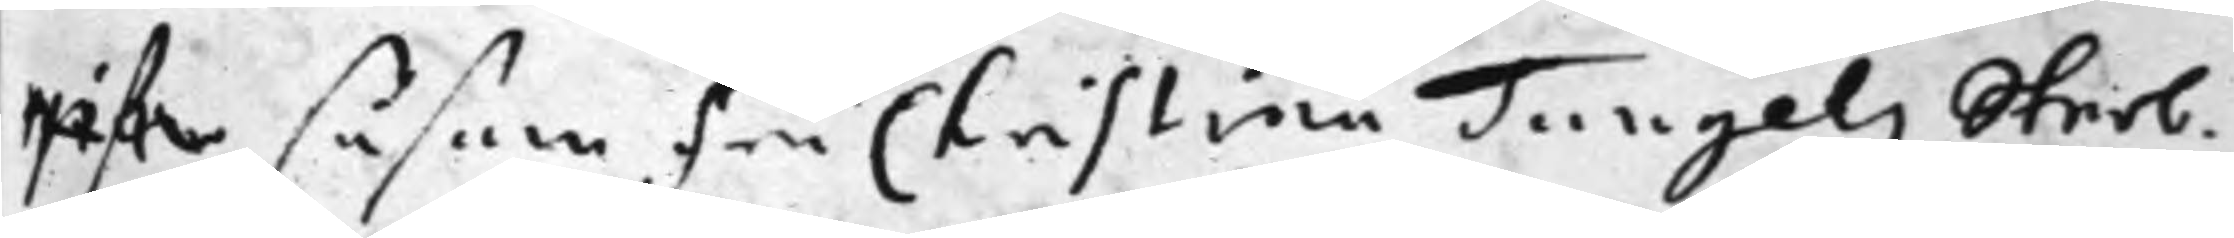gifwa såsom Fru Christina Tungels Sterb¬
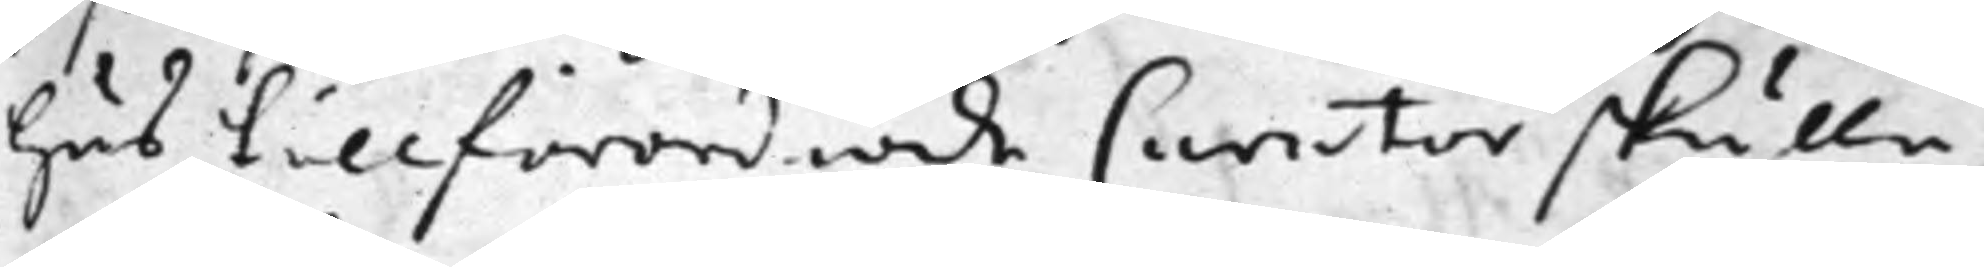hus tillförordnade Curator skulle
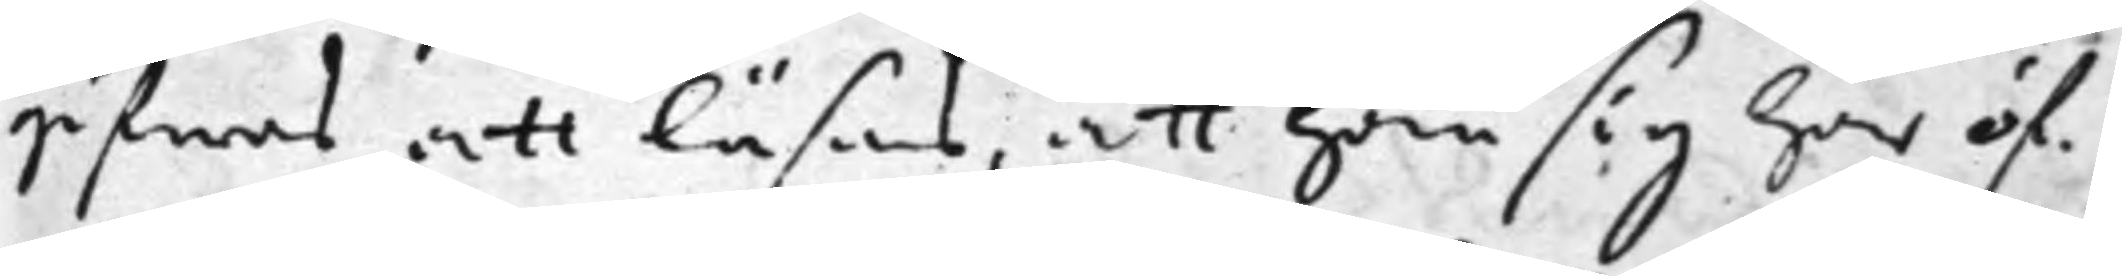gifwas att läsas, att han sig här öf¬
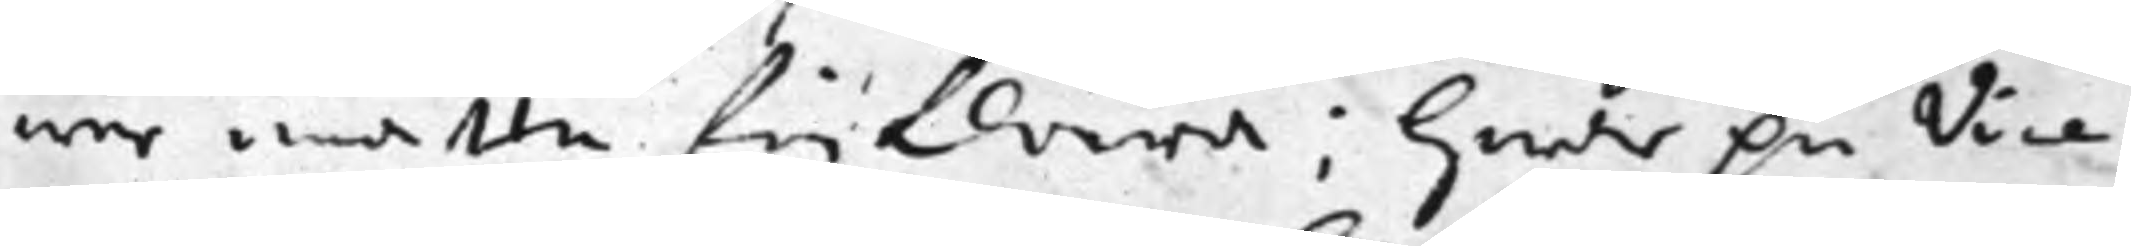wer måtte förklara; Hwar på Vice
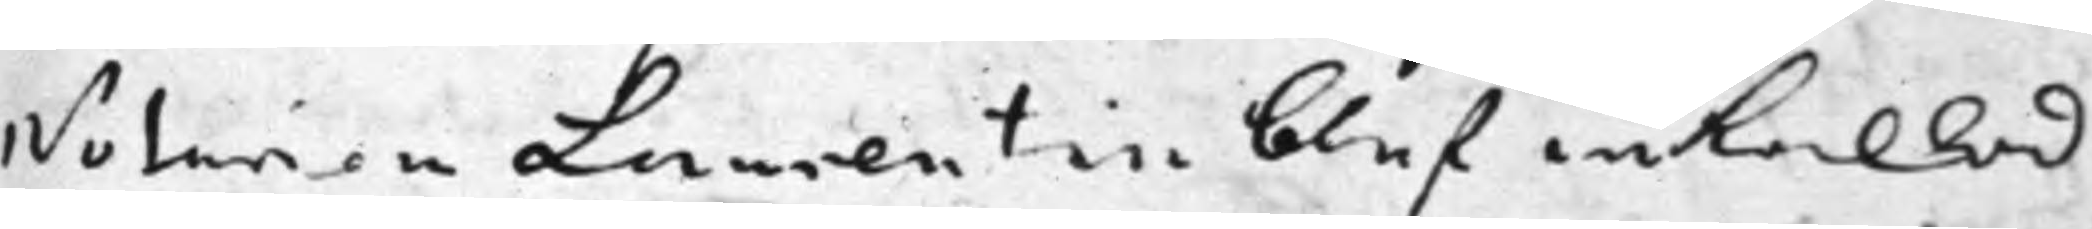Notarien Laurentin blef inkallad
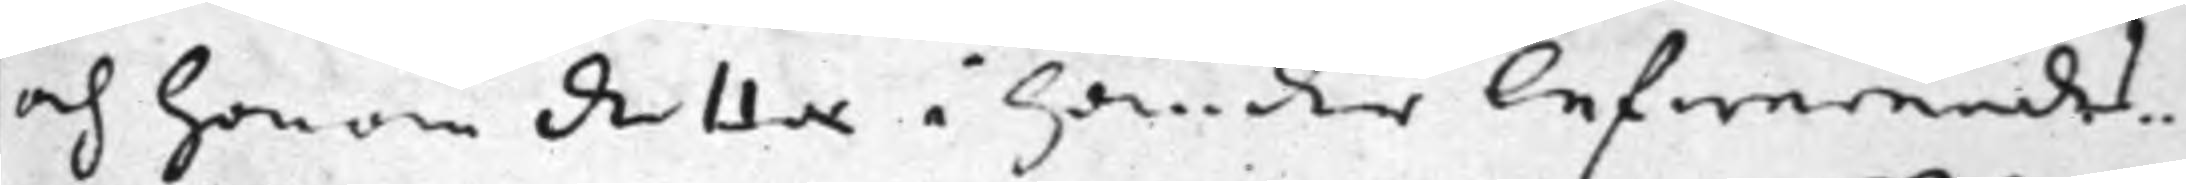och honom detta i händer lefwerendes.
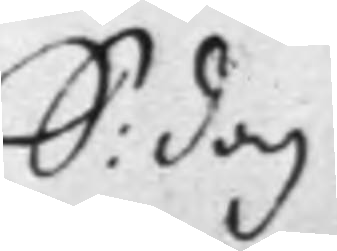S: dag
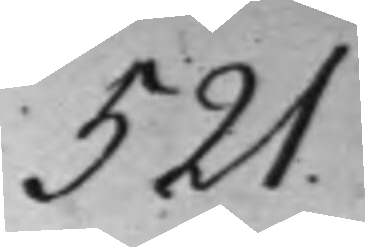521.
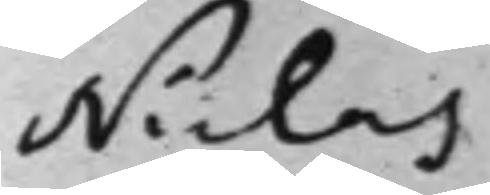Niclas
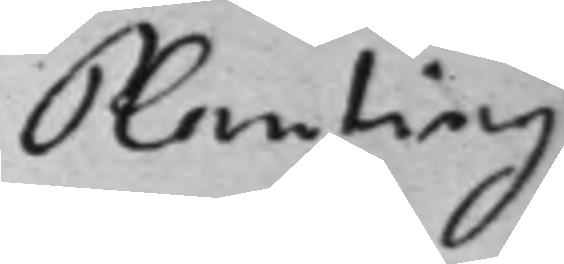Planting
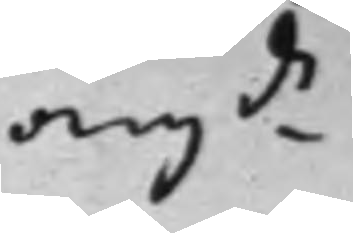ang.de
